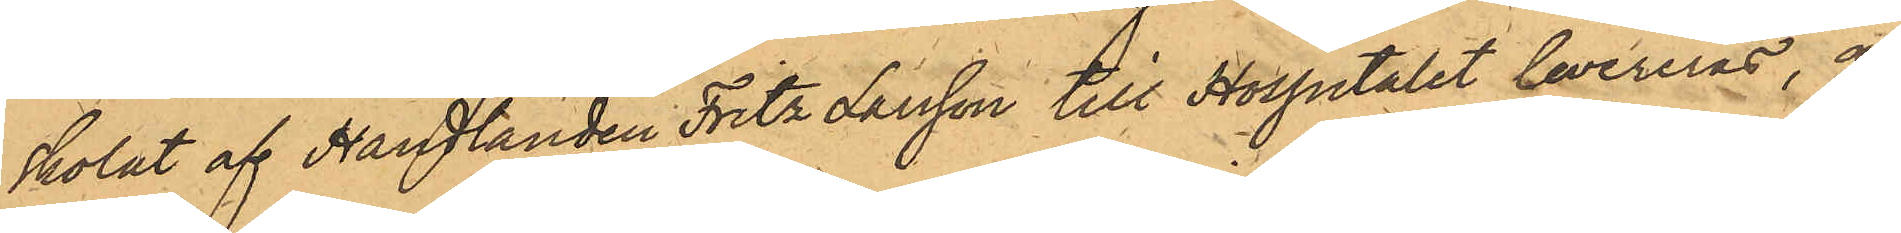skolat af Handlanden Fritz Larsson till Hospitalet levereras, af
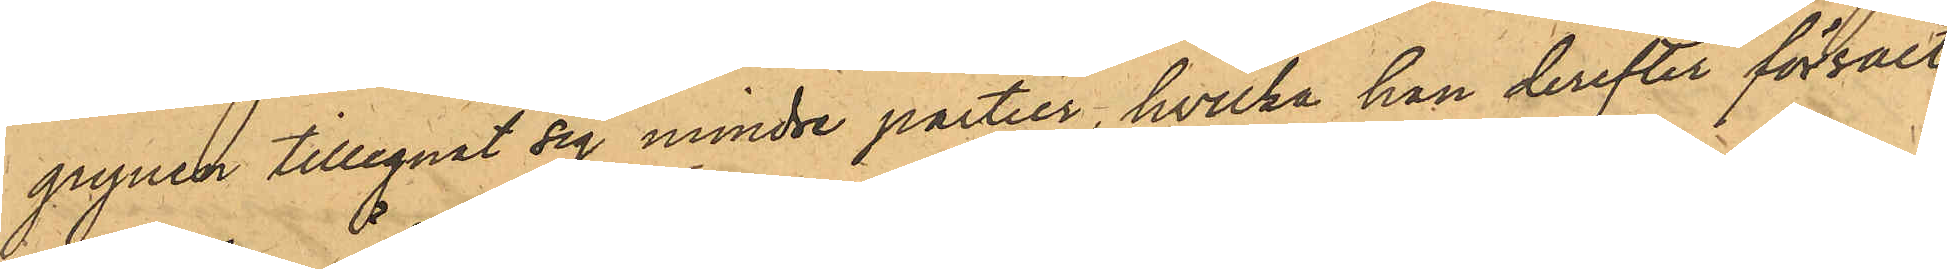grynen tillegnat sig mindre partier, hvilka han derefter försålt
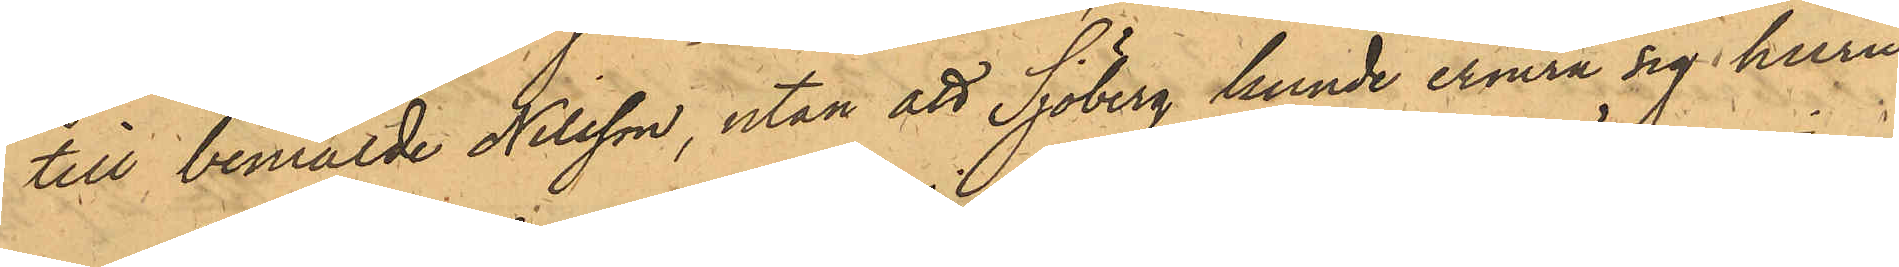till bemälde Nilsson, utan att Sjöberg kunde erinra sig huru
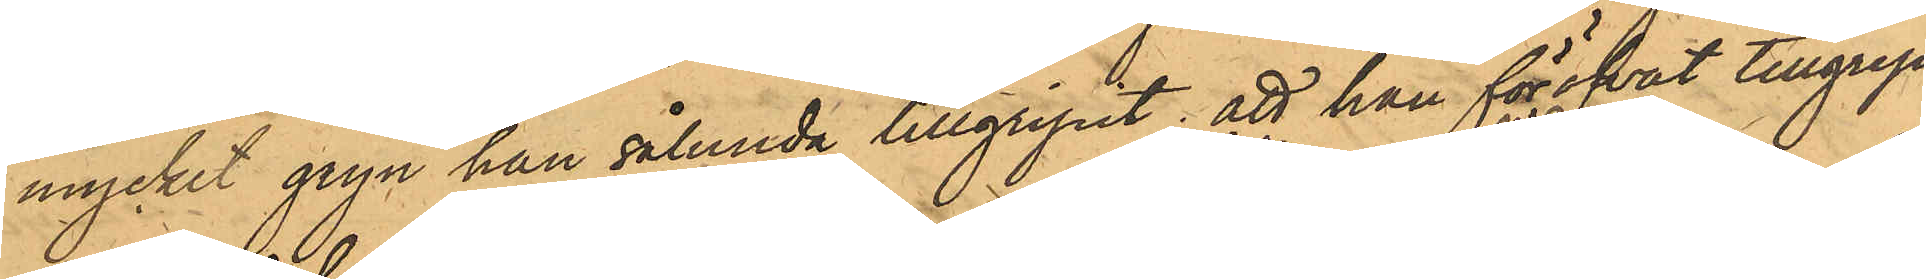mycket gryn han sålunda tillgripit; att han föröfvat tillgrep¬
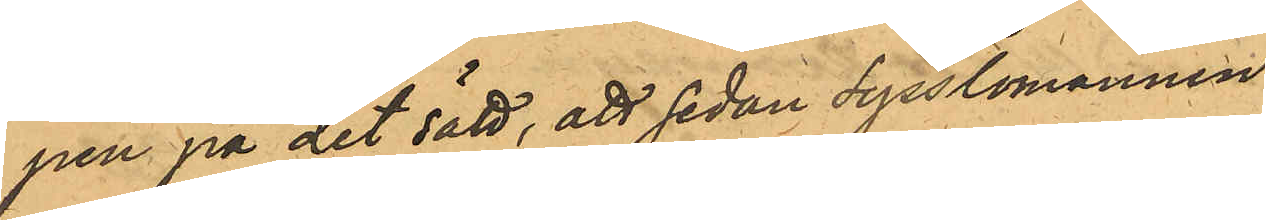pen på det sätt, att sedan Sysslomannen
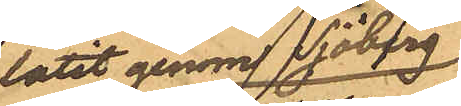låtit genom Sjöberg
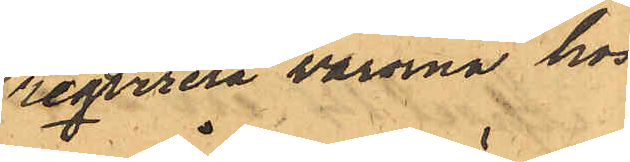reqvirera varorna hos
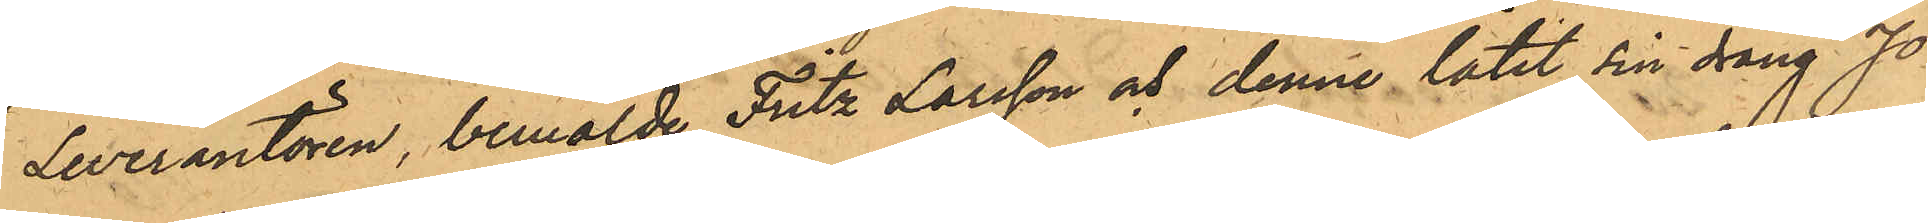Leverantören, bemälde Fritz Larsson och denne låtit sin dräng Jo¬
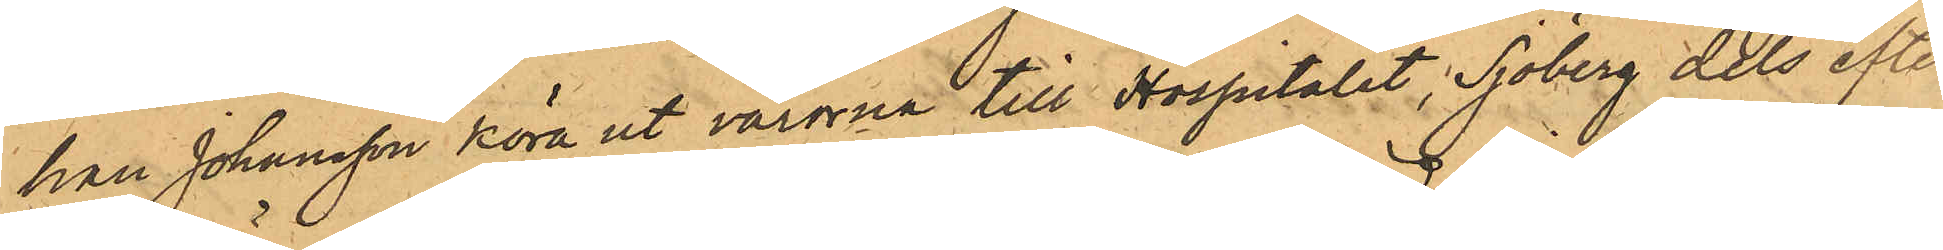han Johansson köra ut varorna till Hospitalet, Sjöberg dels efter
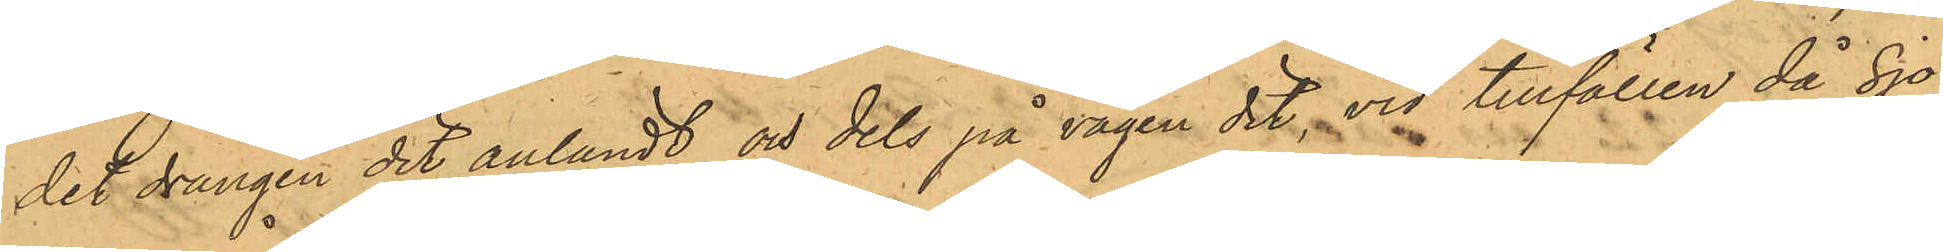det drängen dit anländt och dels på vägen dit, vid tillfällen då Sjö¬
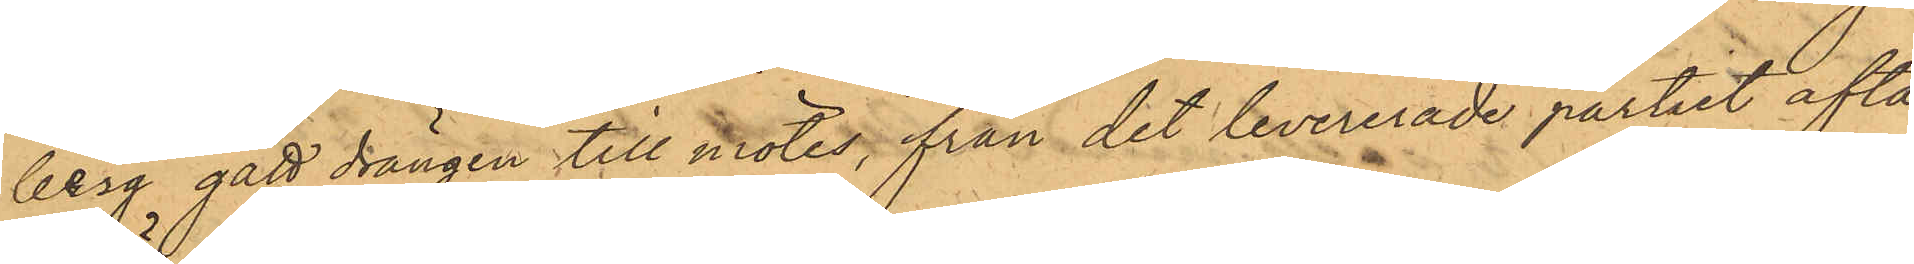berg gått drängen till mötes, från det levererade partiet afta¬
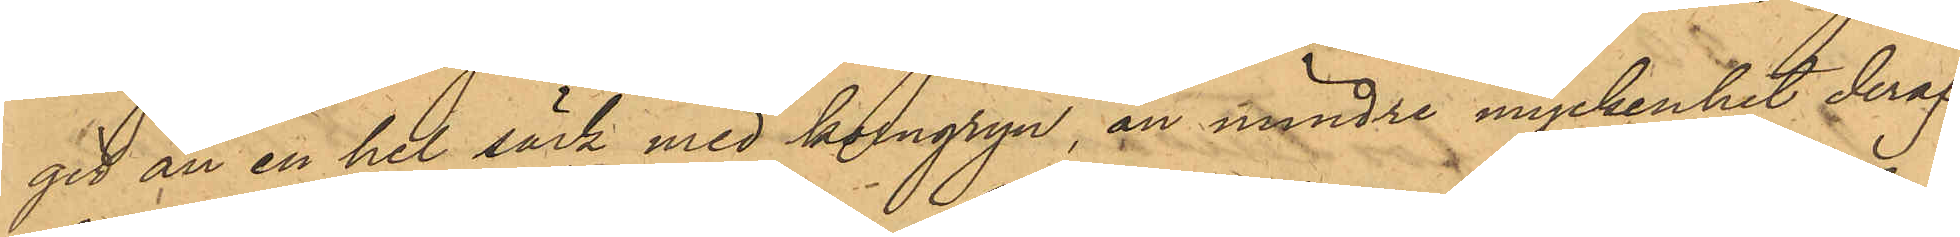git än en hel säck med korngryn, än mindre myckenhet deraf
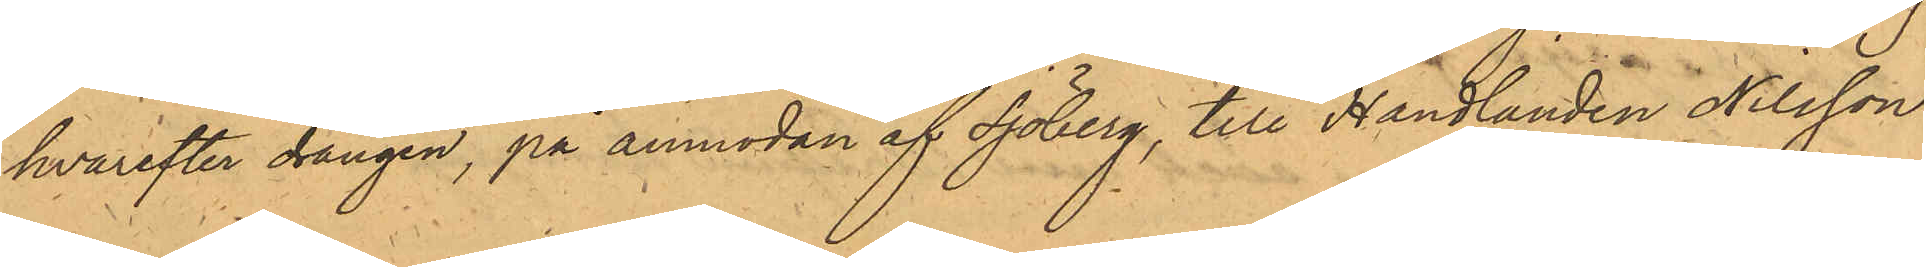hvarefter drängen, på anmodan af Sjöberg, till Handlanden Nilsson
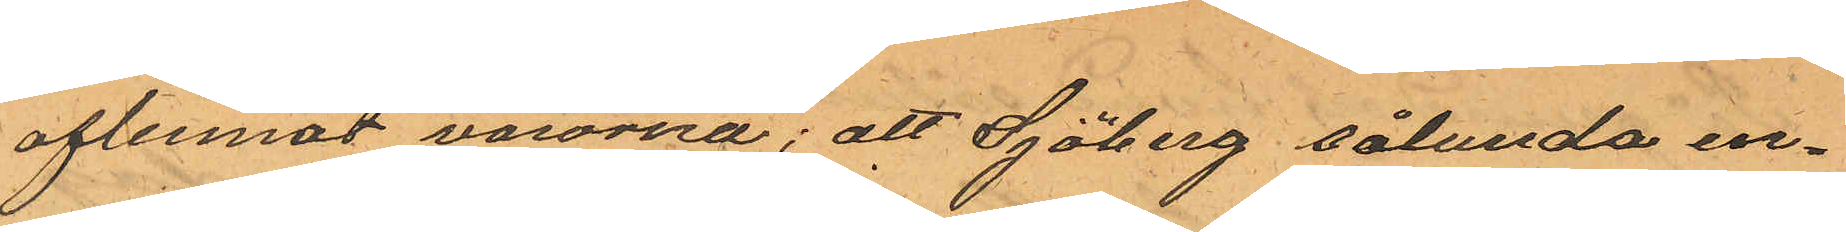aflemnat varorna; att Sjöberg sålunda en¬
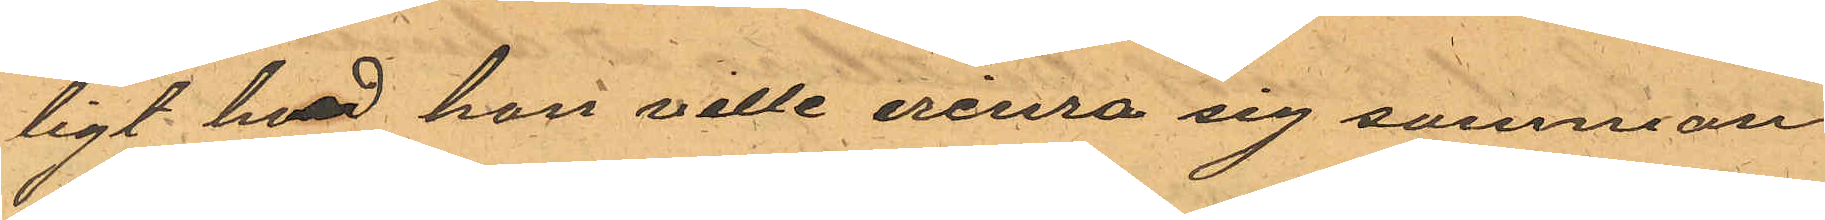ligt hvad han ville erinra sig samman¬
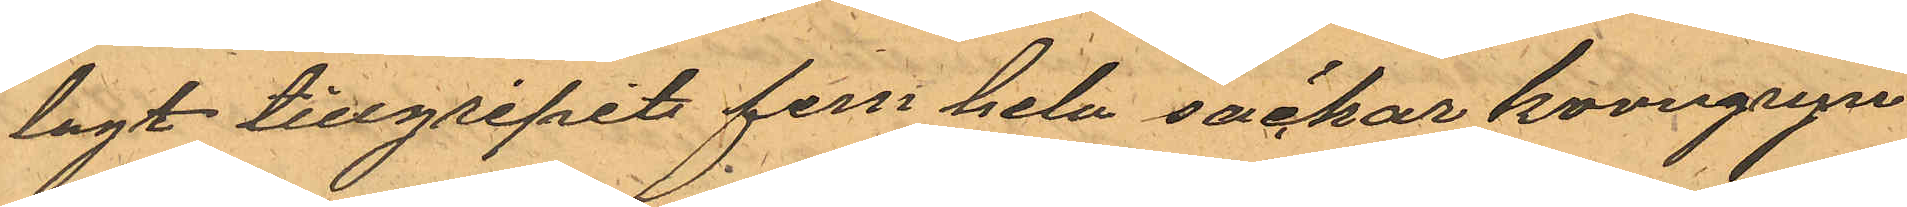lagt tillgripit fem hela säckar korngryn
